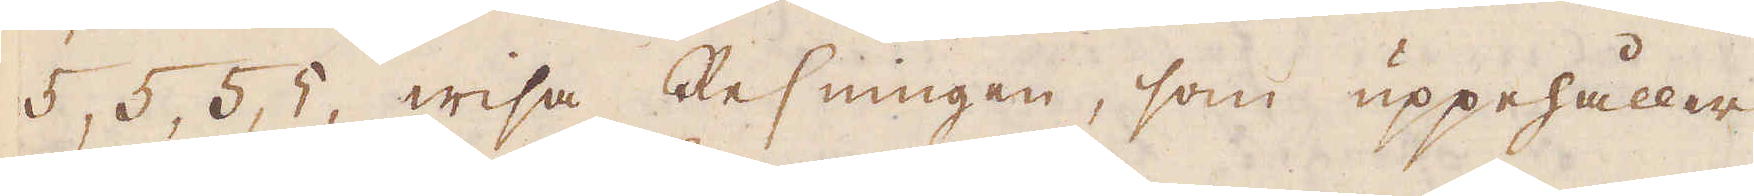5, 5, 5, 5, wisa Resningen, som uppehåller
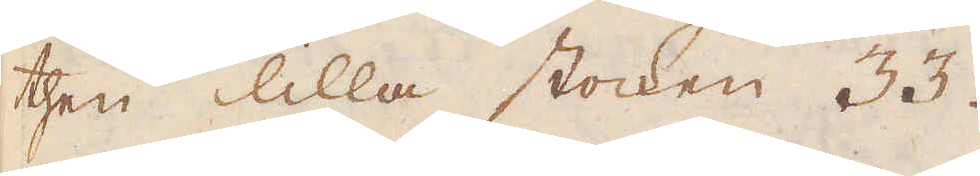then lilla stocken 33.
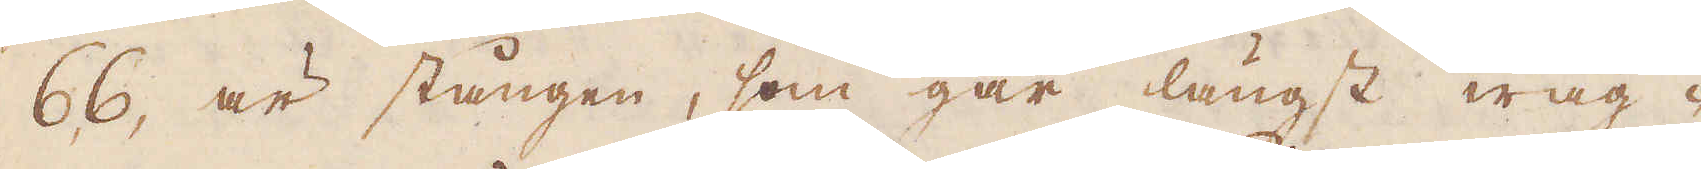66, är stången, som går längst wäg-
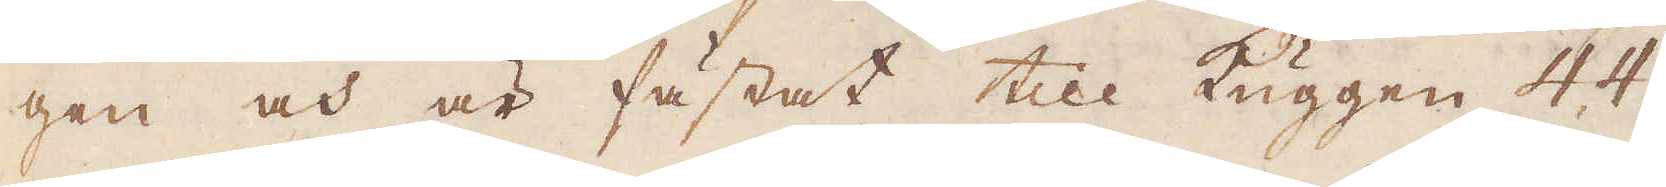gen och är fästat till kuggen 4, 4.
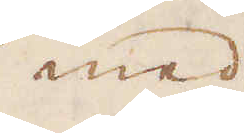med
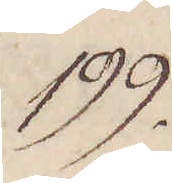199.
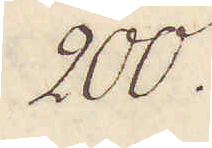200.
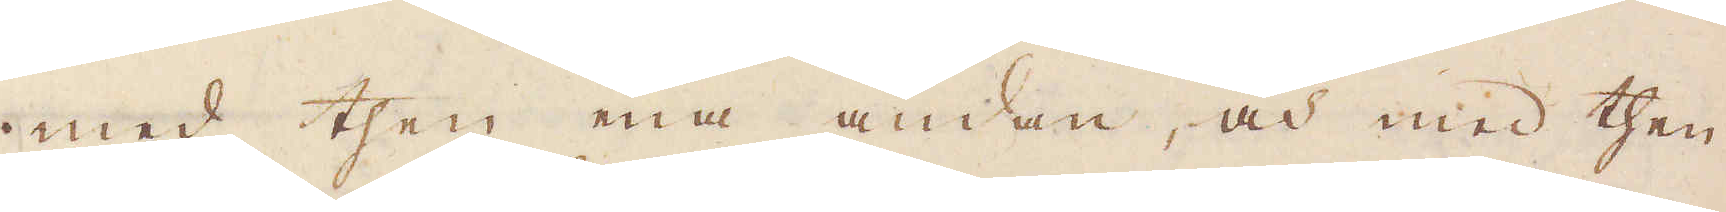med then ena ändan, och med then
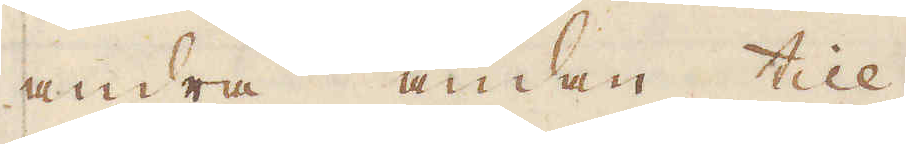andra ändan till
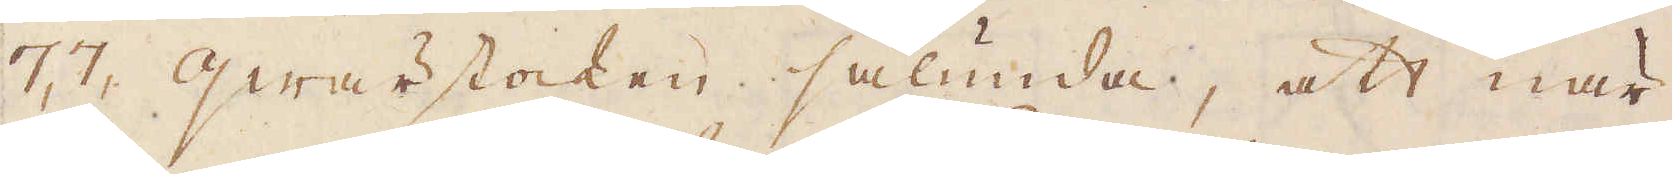7, 7, qwärstocken sålunda, att när
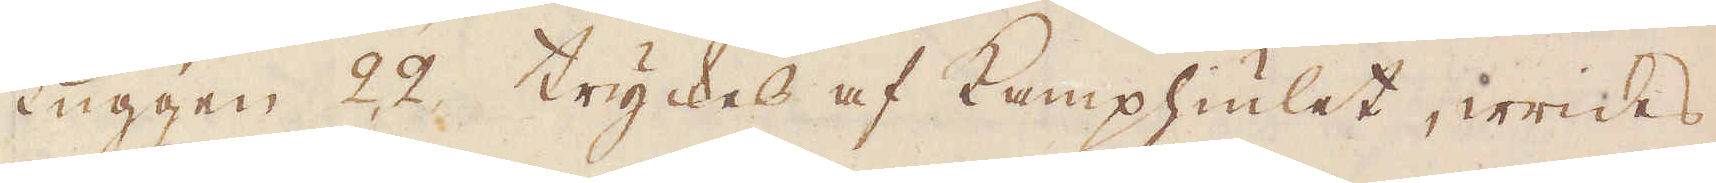Luggen 22 tryckes af Kamphiulet, wrides
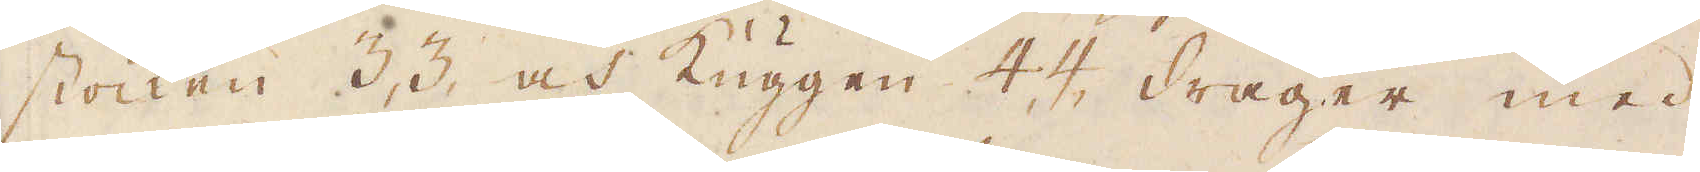stocken 3 3 och Kuggen 4 4, drager med
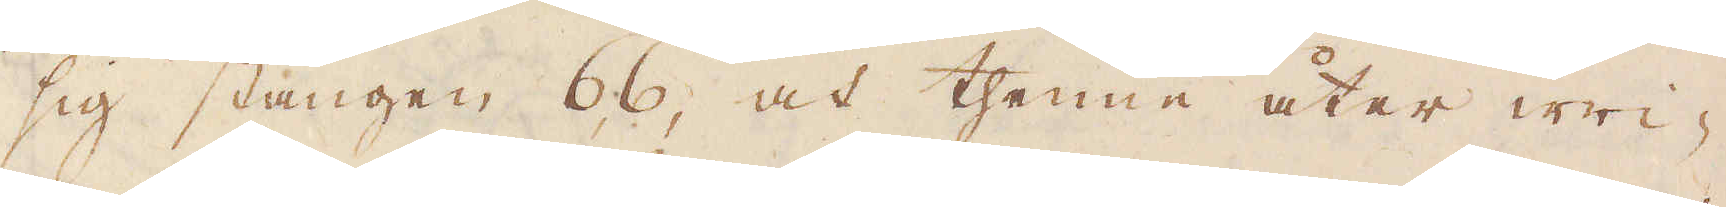sig stången 66, och thenne åter wri-
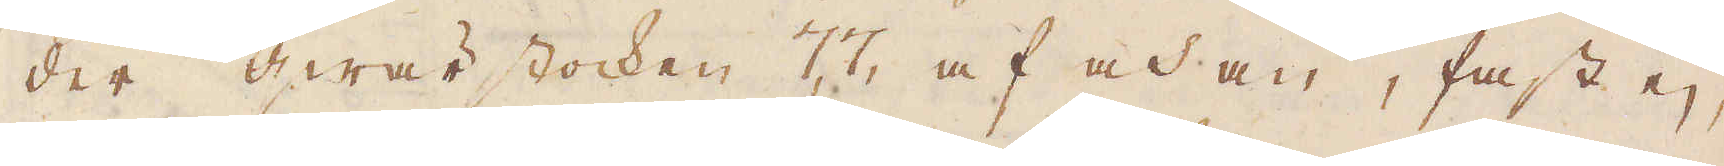der hwar stocken 77, af och an, fast ej
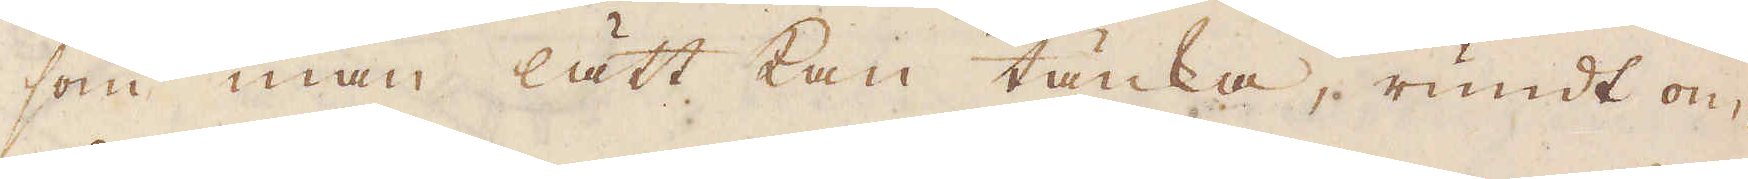som man lätt kan tänka, rundt om,
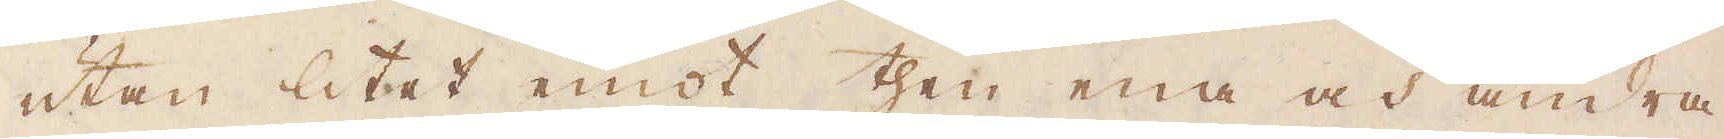utan litet emot then ena och andra
